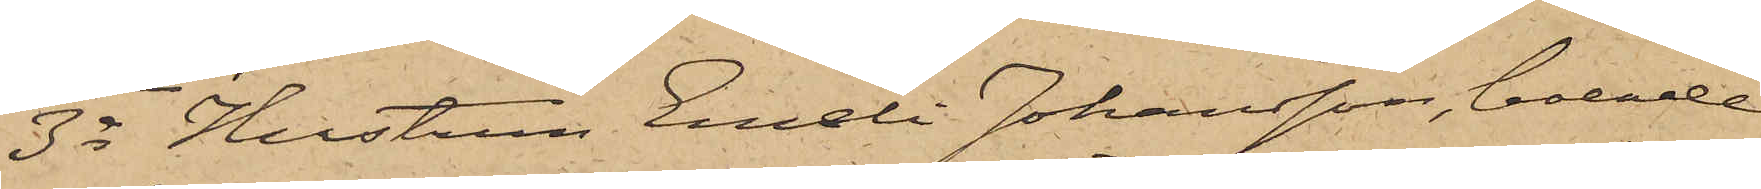3o Hustrun Emeli Johansson, boende
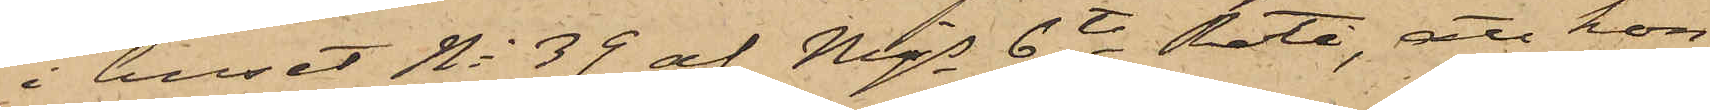i huset No 39 af Mjs 6te Rote, att hon
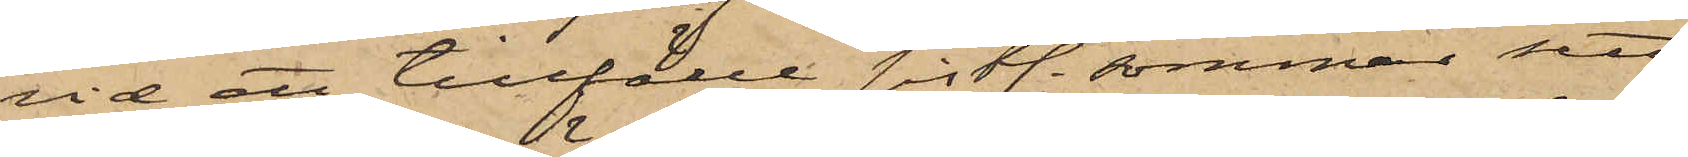vid ett tillfälle sistl. sommar sett
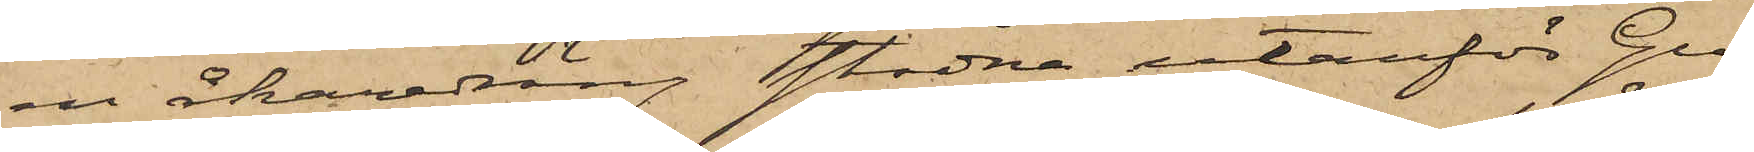en åkaredräng stadna utanför Gu¬
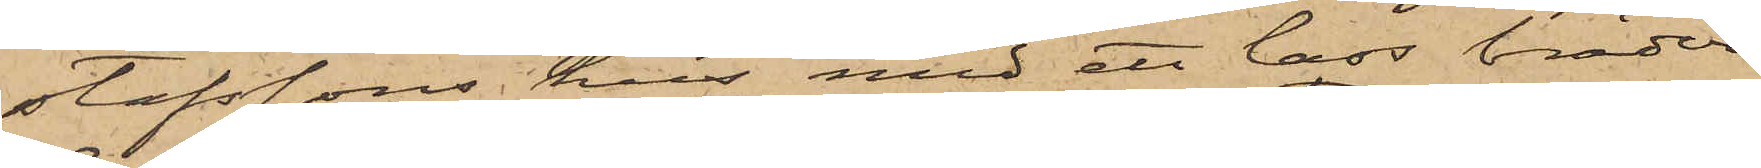stafssons hus med ett lass bräder
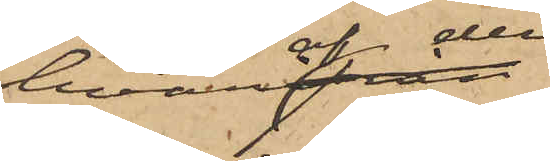hvaraf der
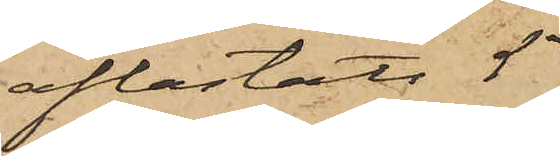aflastats 5
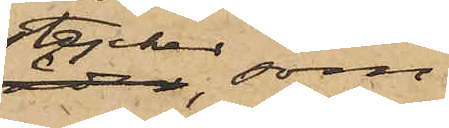stycken, som
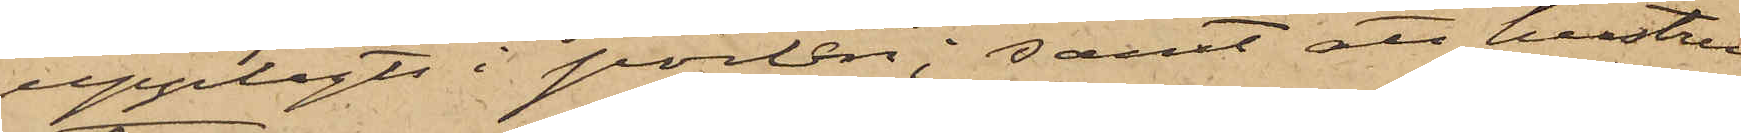upplagts i porten; samt att hustru
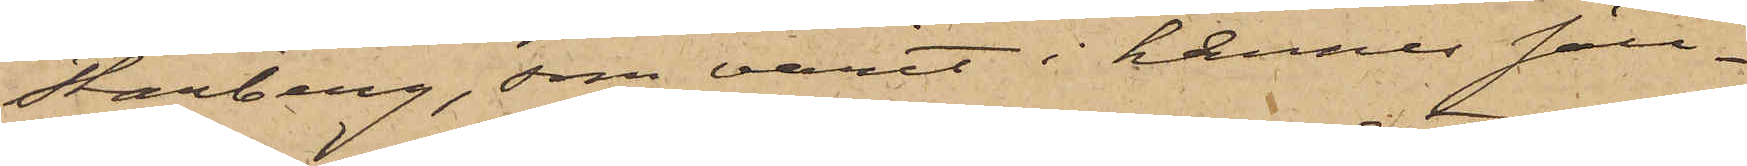Starberg, som varit i hennes säll¬
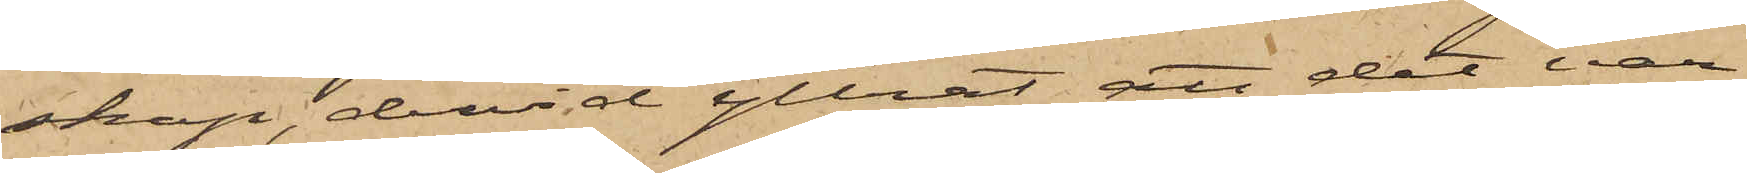skap, dervid yttrat att det var
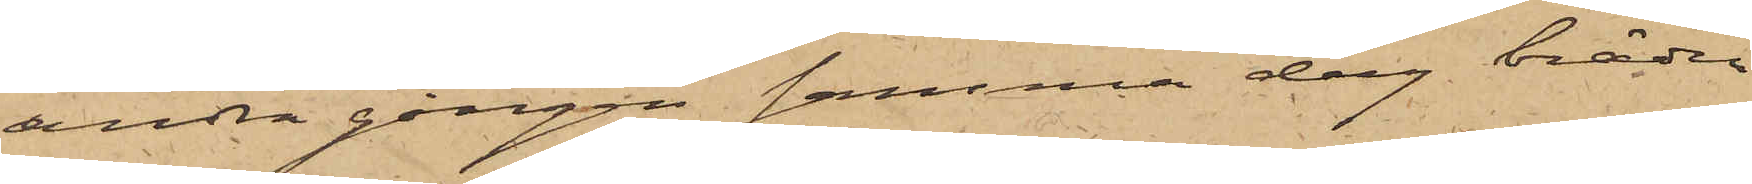andra gången samma dag bräder
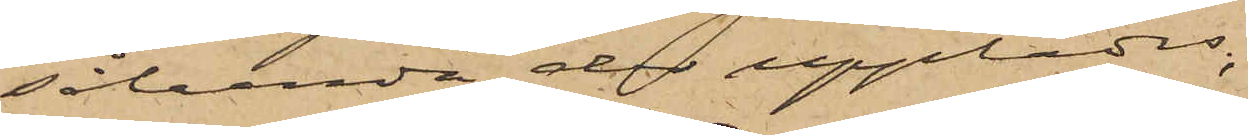sålunda der upplades;
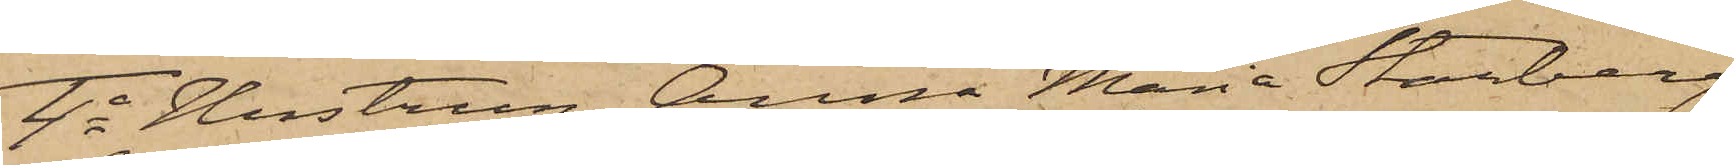4o Hustrun Anna Maria Starberg
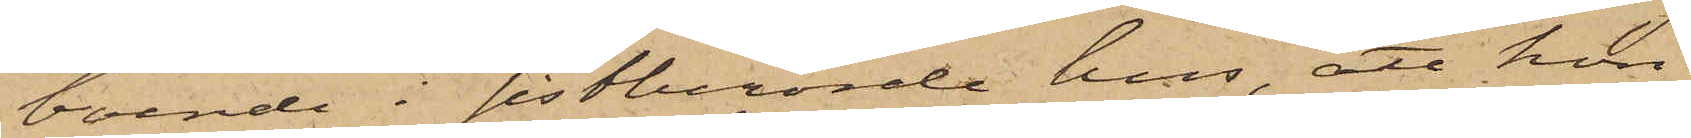boende i sistberörde hus, att hon
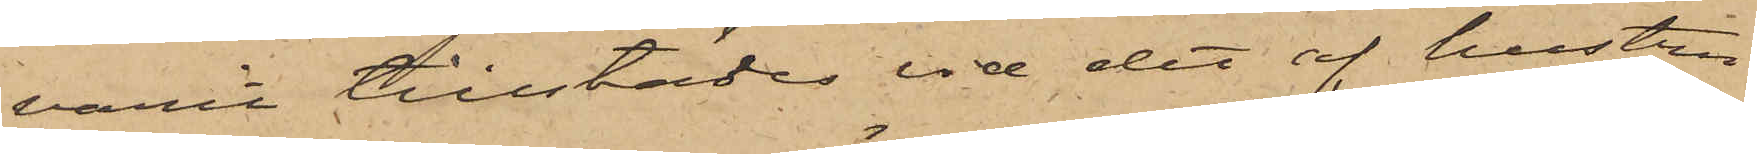varit tillstädes vid det af hustru
